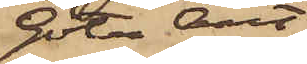Göta Art
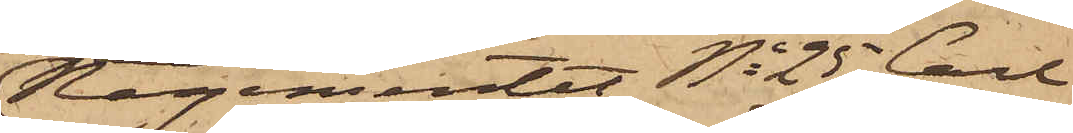Regementet No 25 Carl
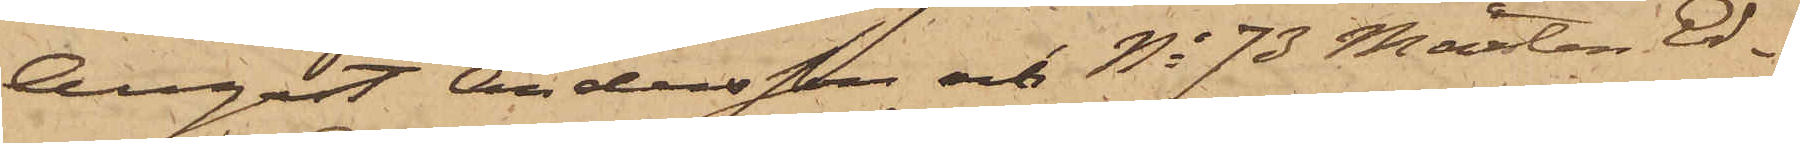August Andersson och No 73 Mårten Ed¬
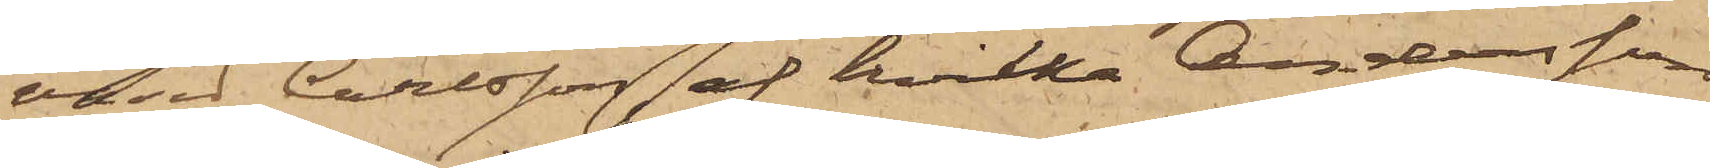vard Carlsson, af hvilka Andersson
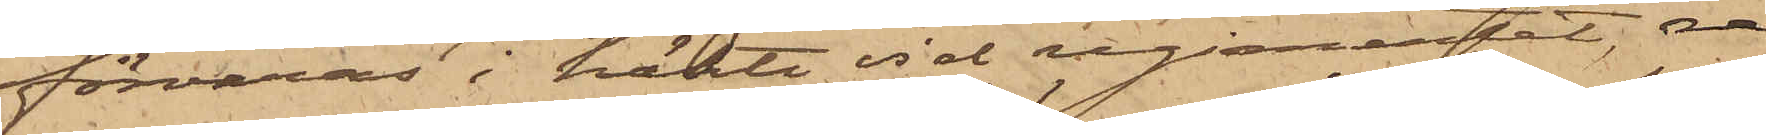förvaras i häkte vid regementet, re¬
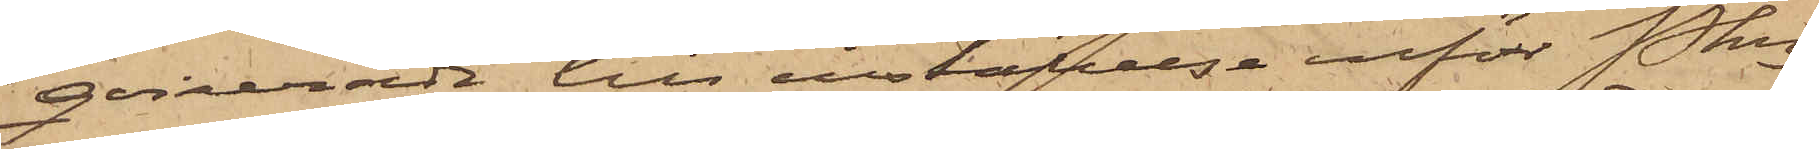qvirerade till inställelse inför Pkn
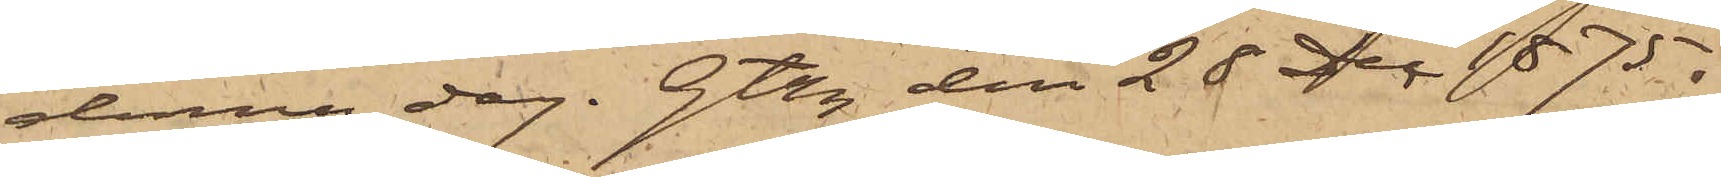denna dag. Gtbg den 28 Dec 1875.
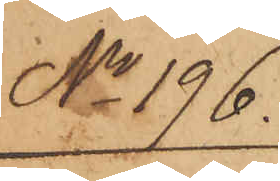No 196.
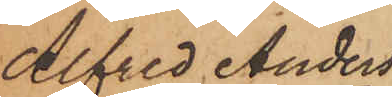Alfred Anders¬
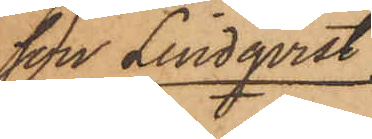son Lindqvist
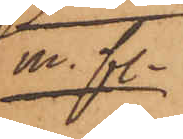m. fl.
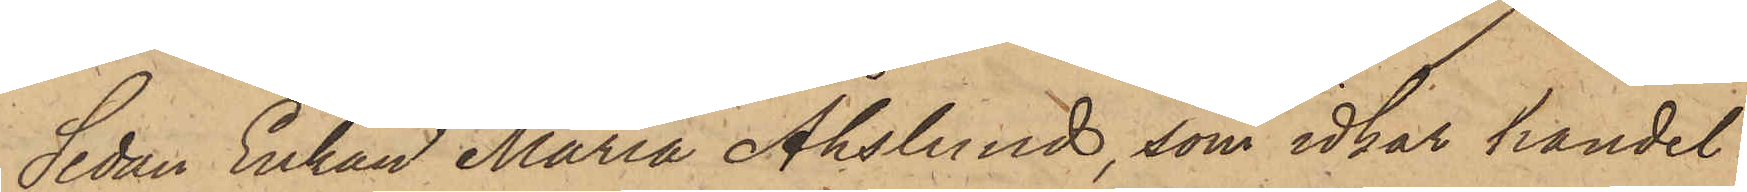Sedan Enkan Maria Åhslund, som idkar handel
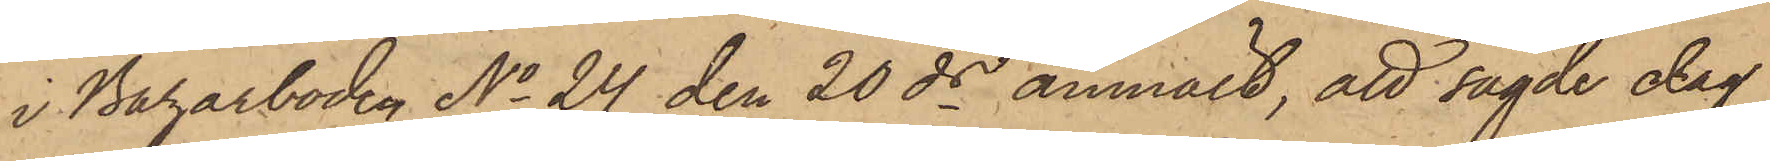i Bazarboden No 24 den 20 ds anmält, att sagde dag
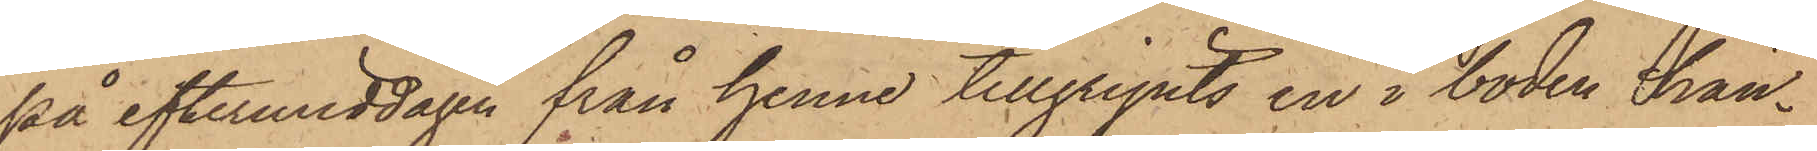på eftermiddagen från henne tillgripits en i boden hän¬
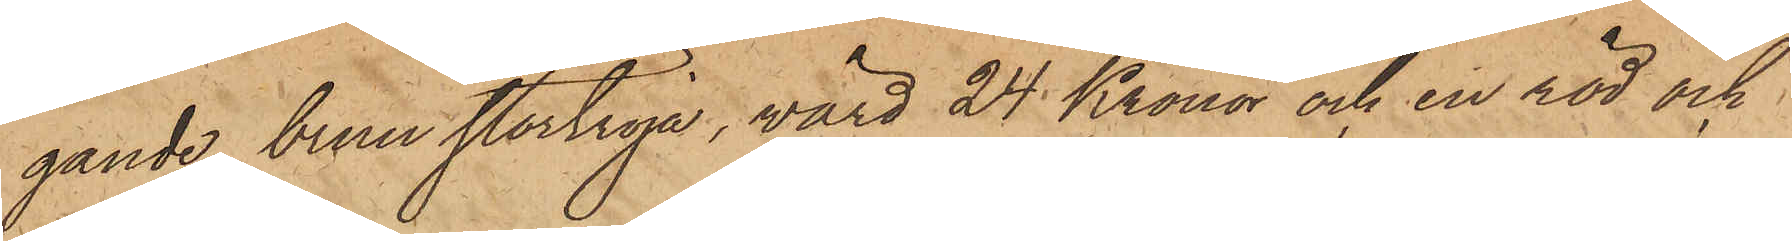gande brun stortröja, värd 24 Kronor och en röd och
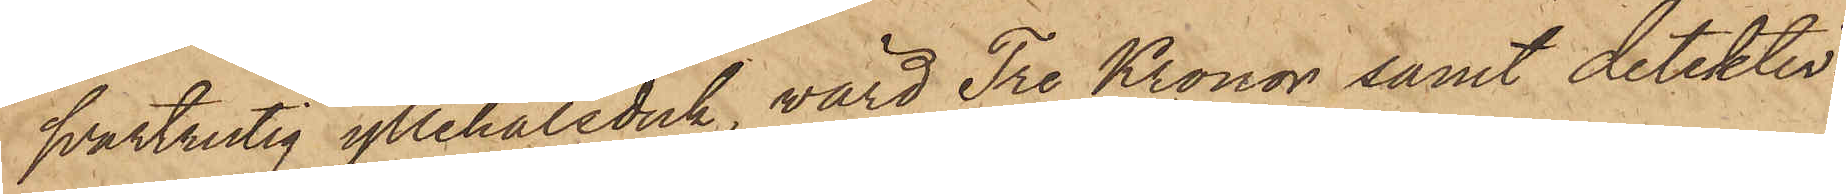svartrutig yllehalsduk, värd Tre Kronor samt detektiv¬
